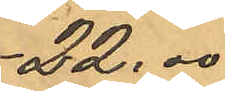22,00
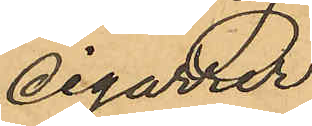cigarrer
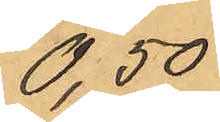0,50
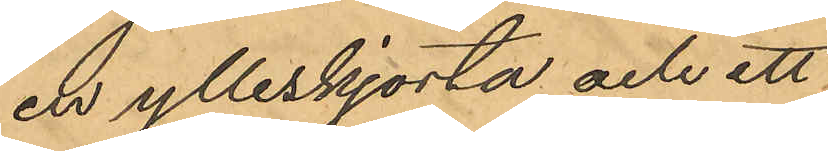en ylleskjorta och ett
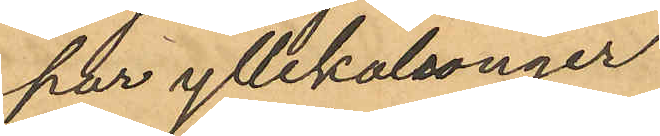par yllekalsonger
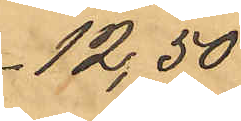12,50
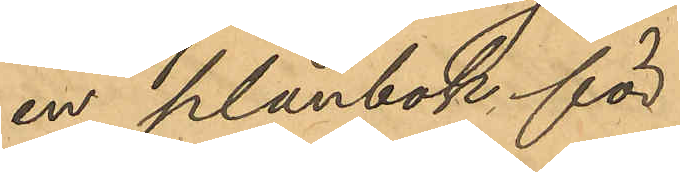en plånbok för
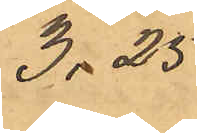3,25
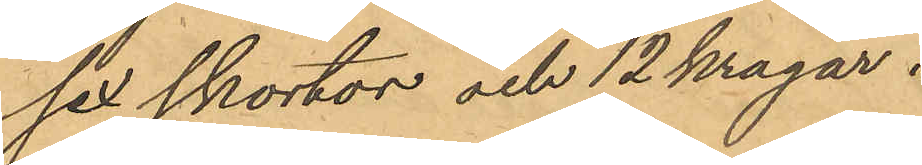sex skortor och 12 kragar
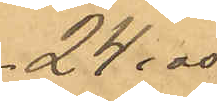24,00
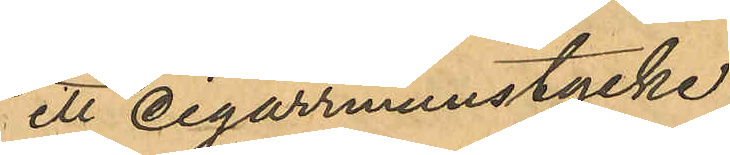ett cigarrmunstycke
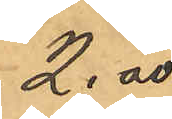2.00
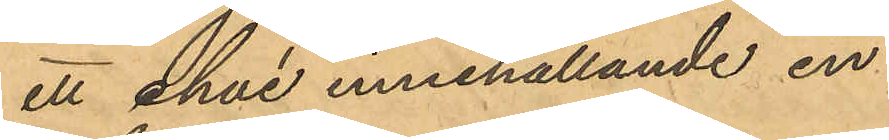ett etui innehållande en
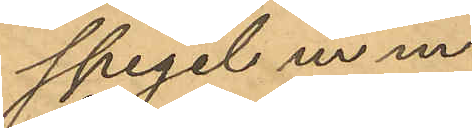spegel m m.
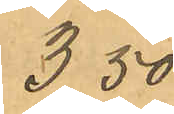3,50
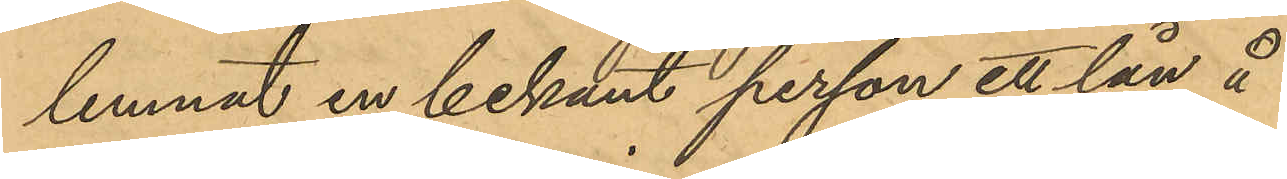lemnat en bekant person ett lån å
